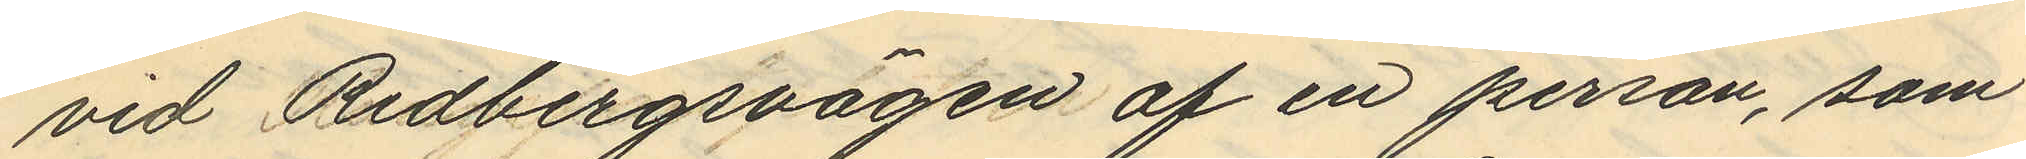vid Redbergsvägen af en person, som
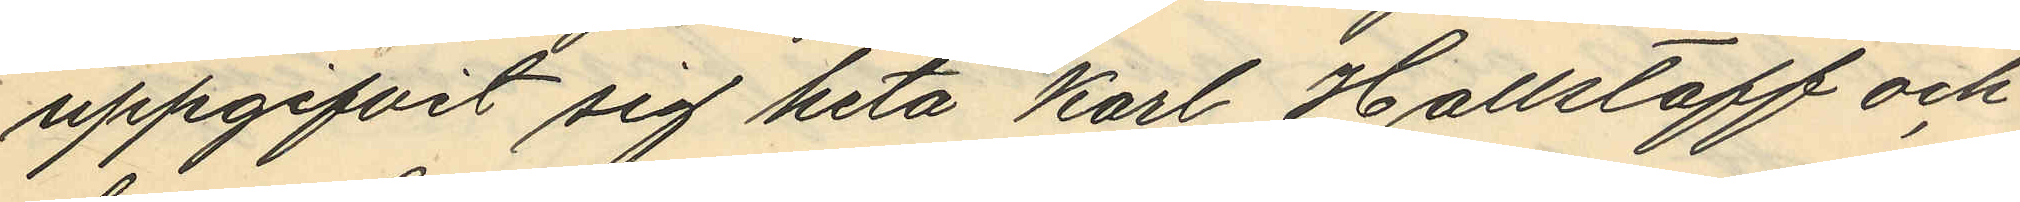uppgifvit sig heta Karl Hallstaff och
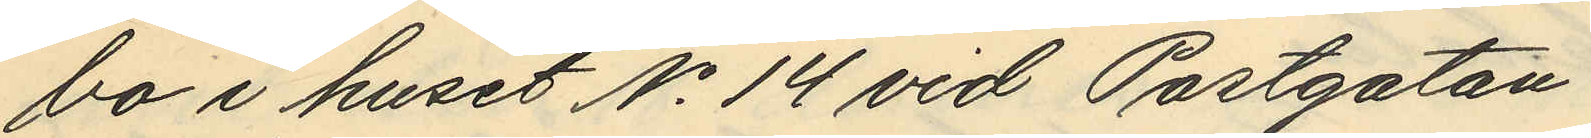bo i huset No 14 vid Postgatan.
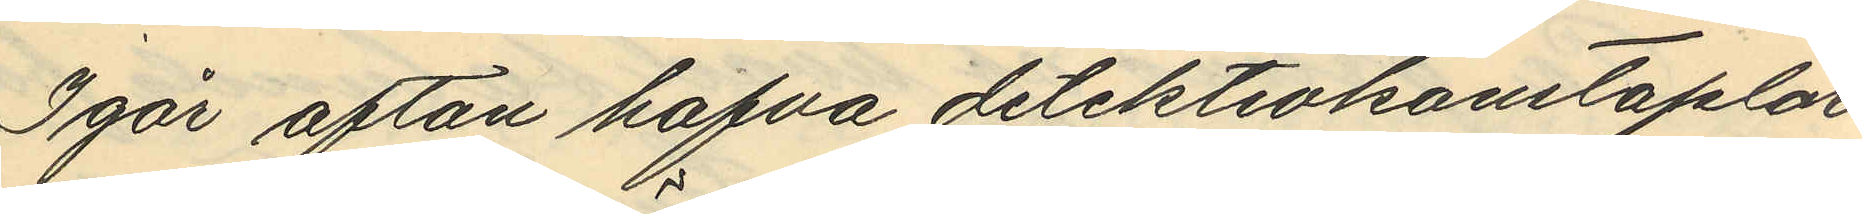I går afton hafva detektivkonstaplar
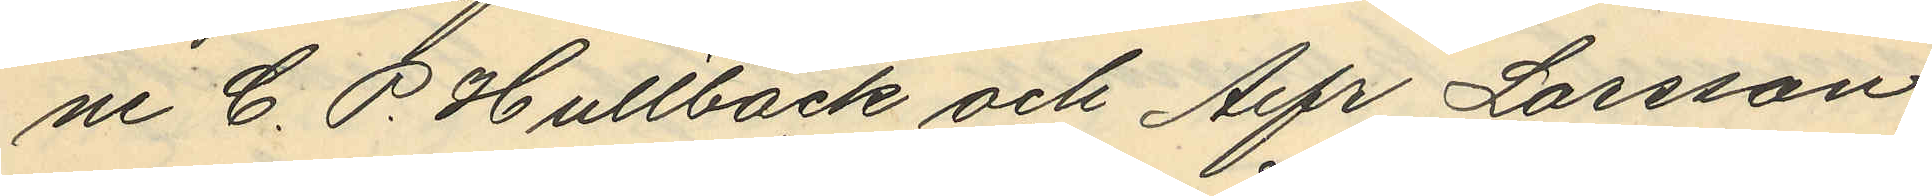ne C. P. Hultbäck och Alfr Larsson
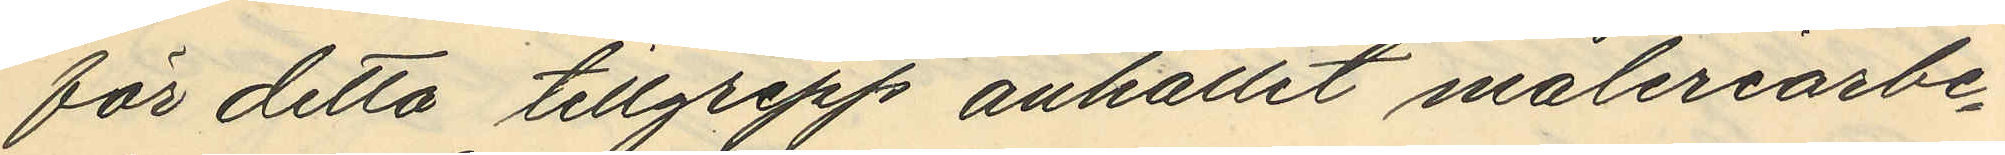för detta tillgrepp anhållit måleriarbe¬
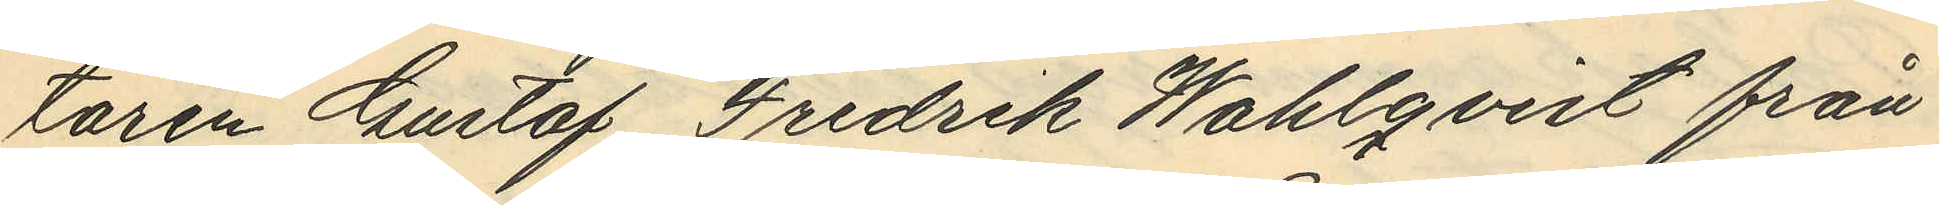taren Gustaf Fredrik Wahlqvist från
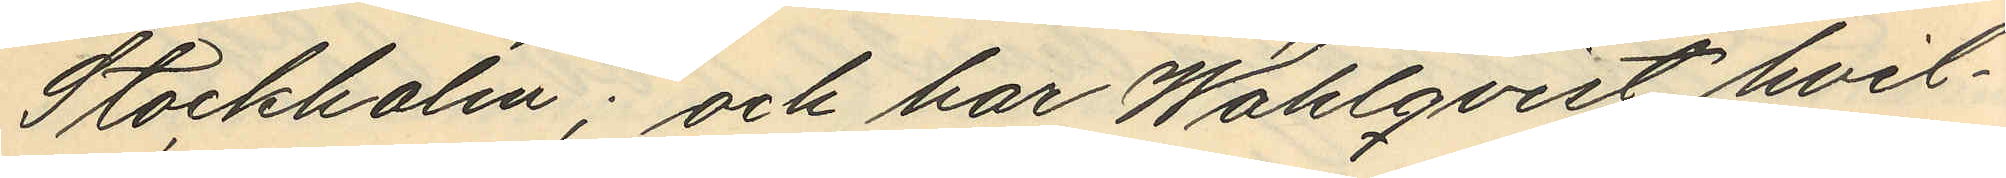Stockholm; och har Wahlqvist hvil¬
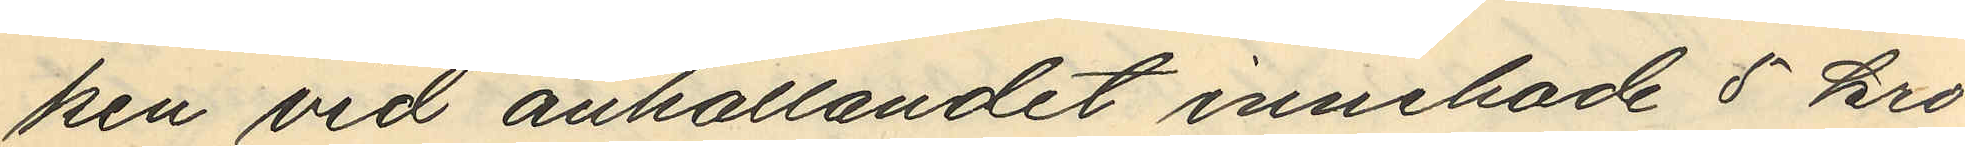ken vid anhållandet innehade 5 kro¬
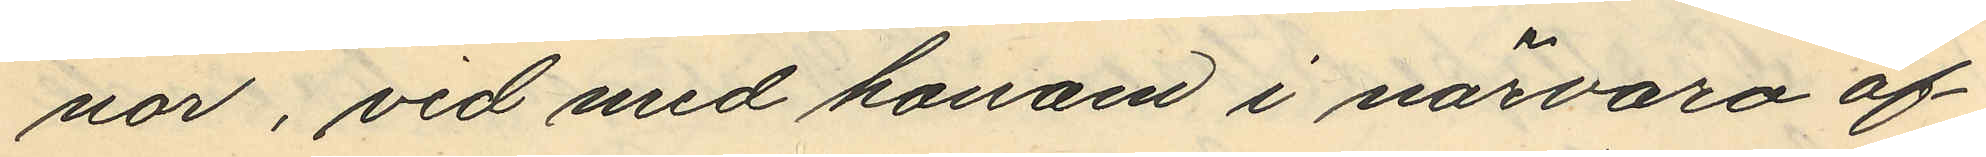nor, vid med honom i närvaro af
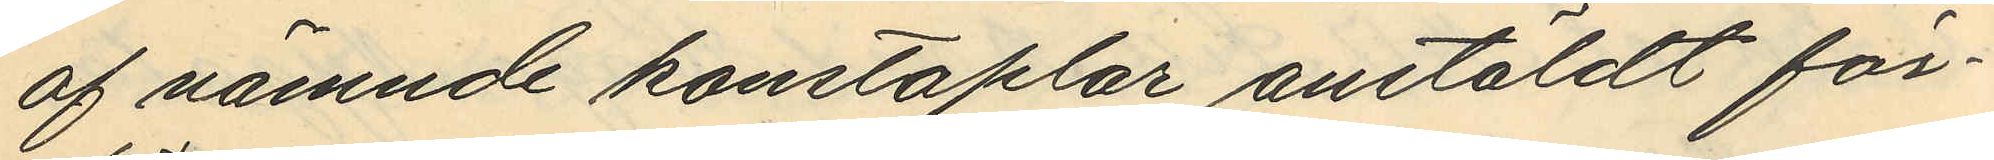af nämnde konstaplar anstäldt för¬
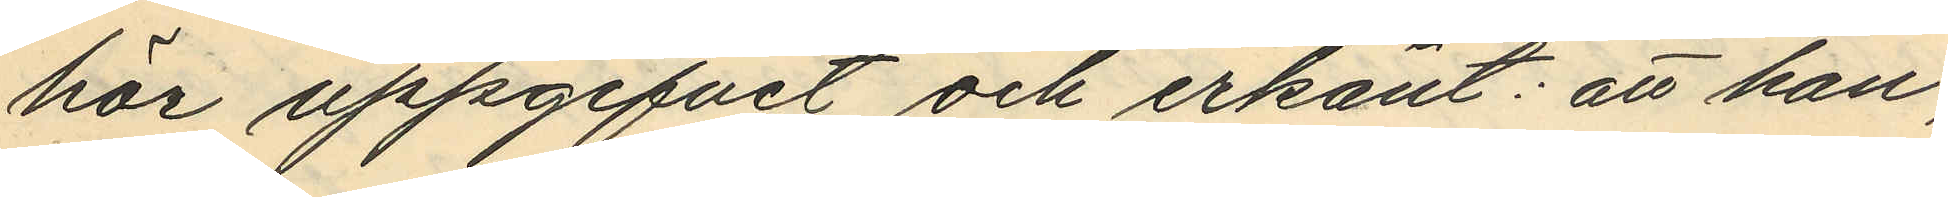hör uppgifvit och erkänt: att han,
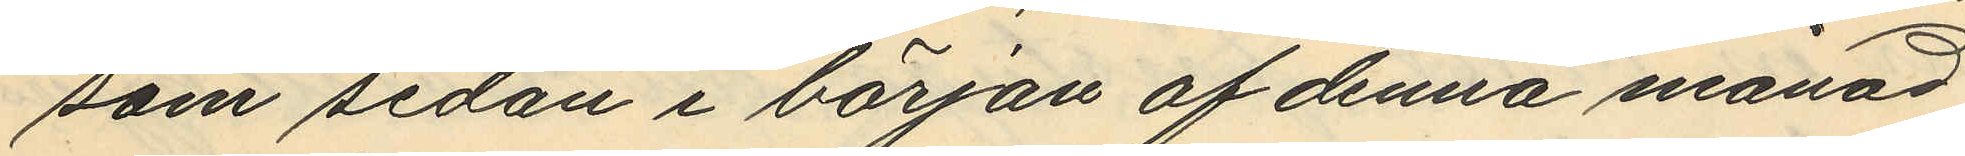som sedan i början af denna månad
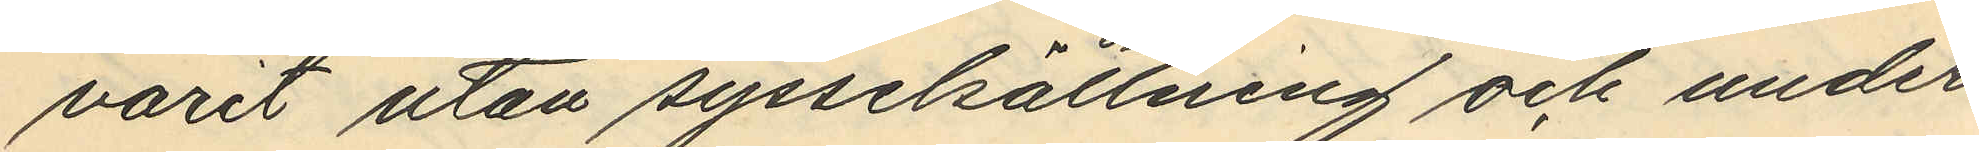varit utan sysselsättning och under
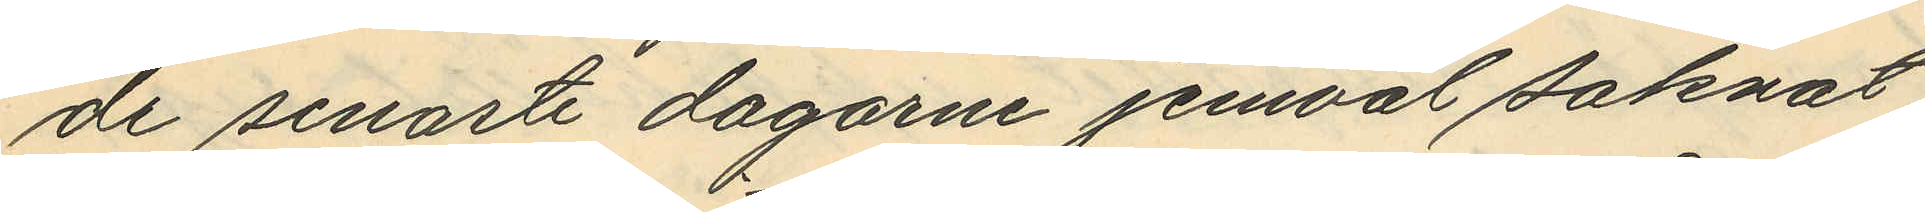de senaste dagarne jemväl saknat
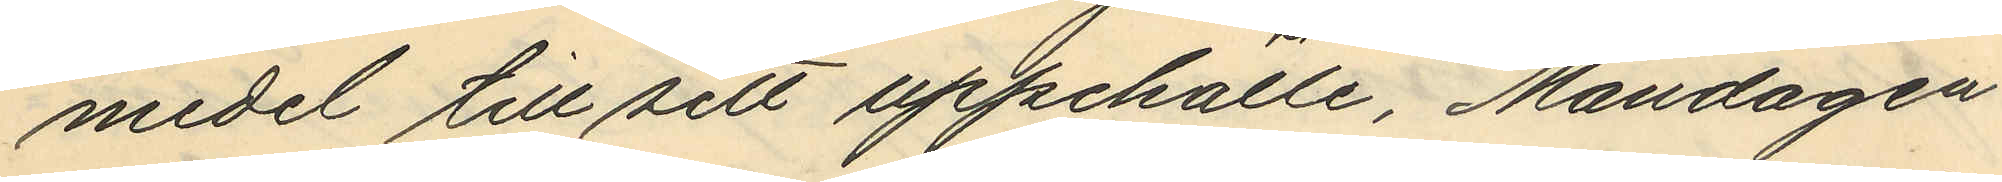medel till sitt uppehälle, Måndagen
